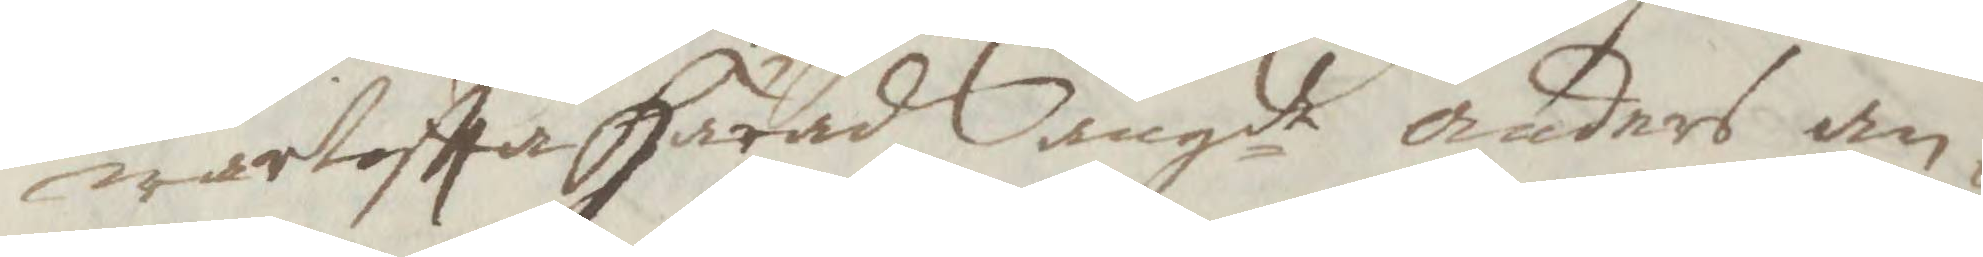wartofta Härad angde anders an¬
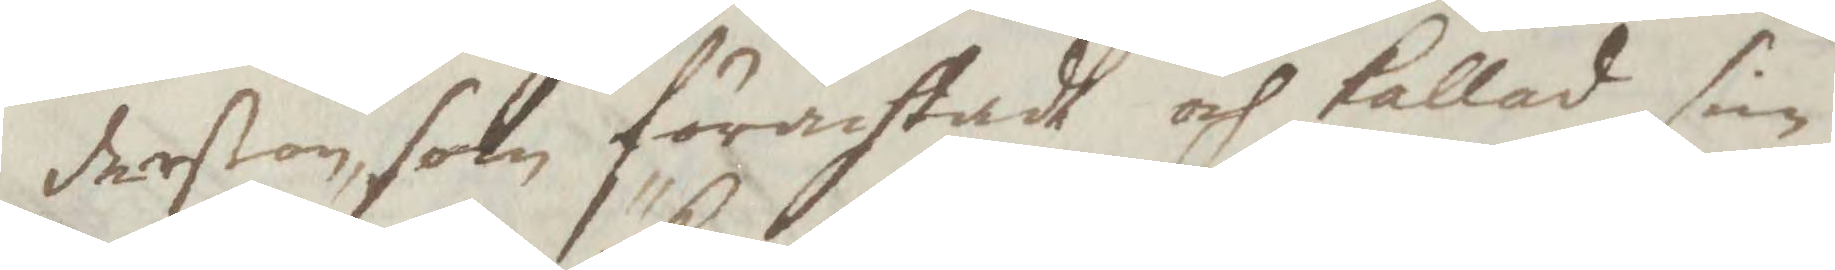derßon, som förächtad och kallad sin
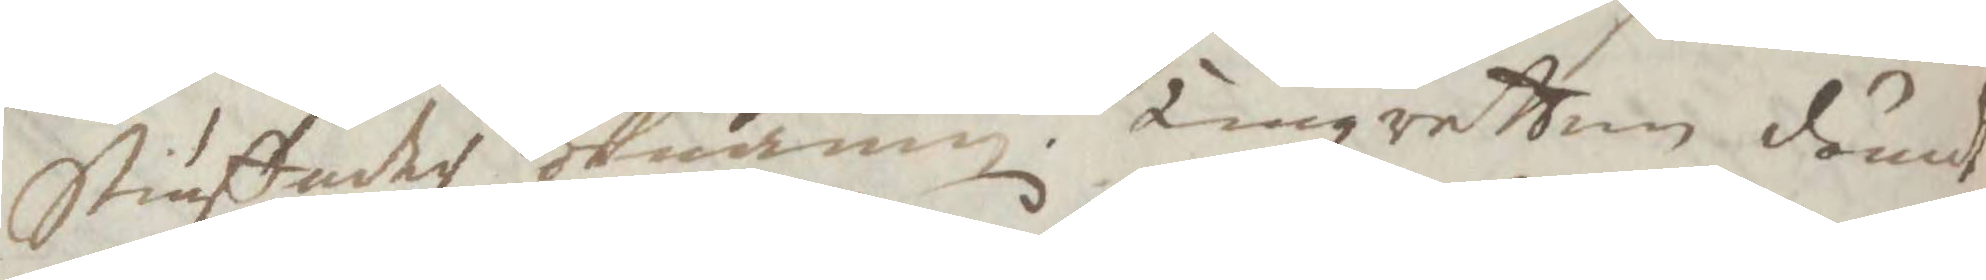Stiuffader öknamn. Tingzretten dömdt
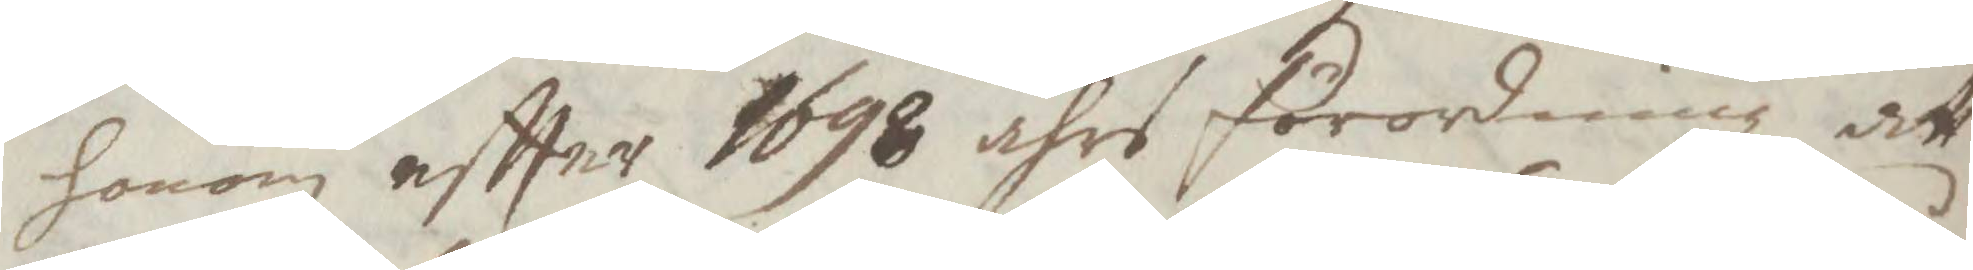honom eftter 1698 åhrs förordning att
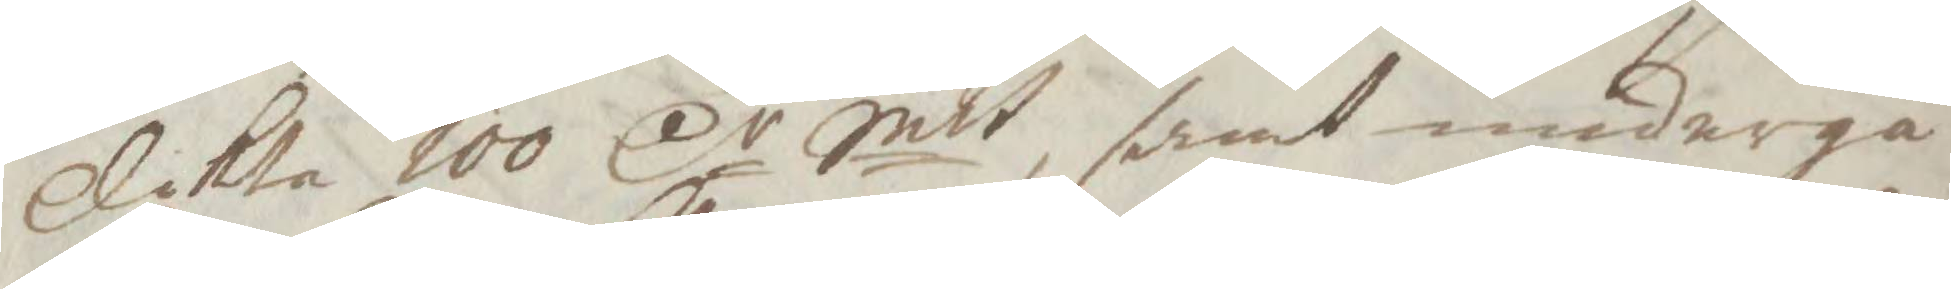plikta 100 Cr Smt, samt undergå
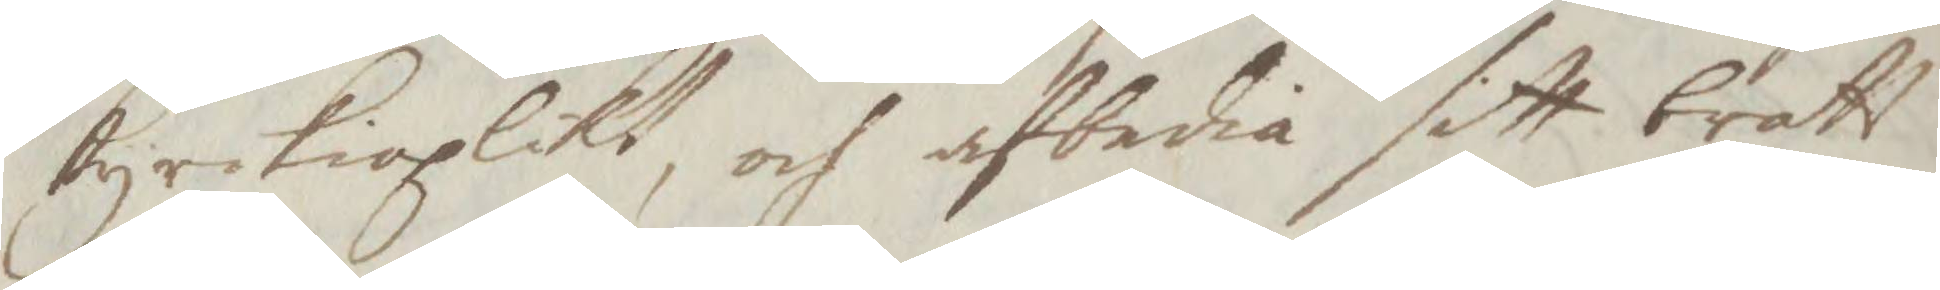kyrkioplikt, och afbedia sitt brott
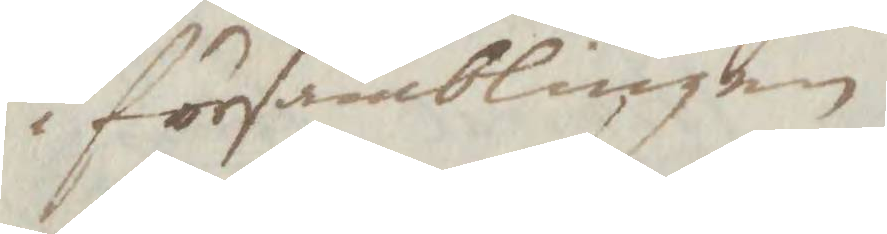i församblingen.
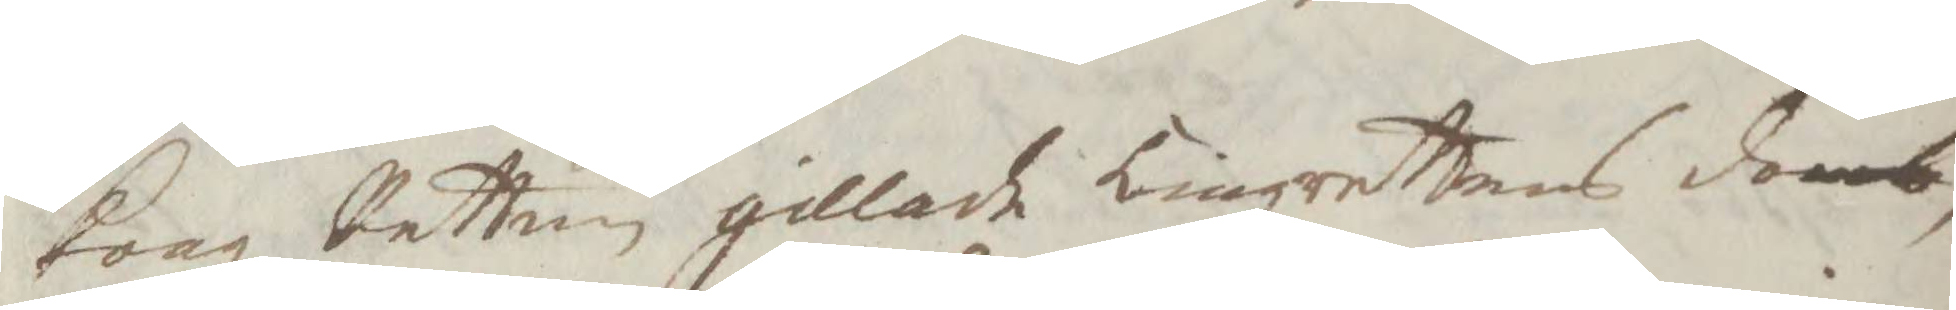Kongl Retten gillade Tingzrettens domb,
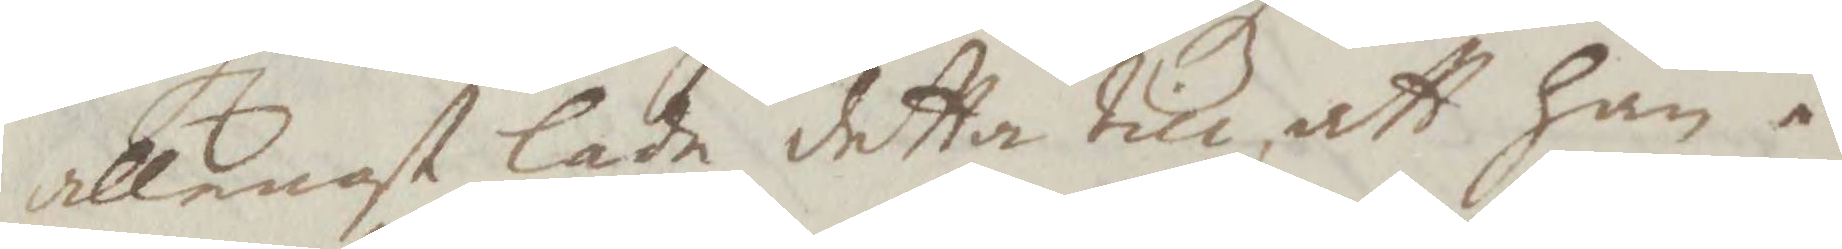allenast lade detta till, att han i
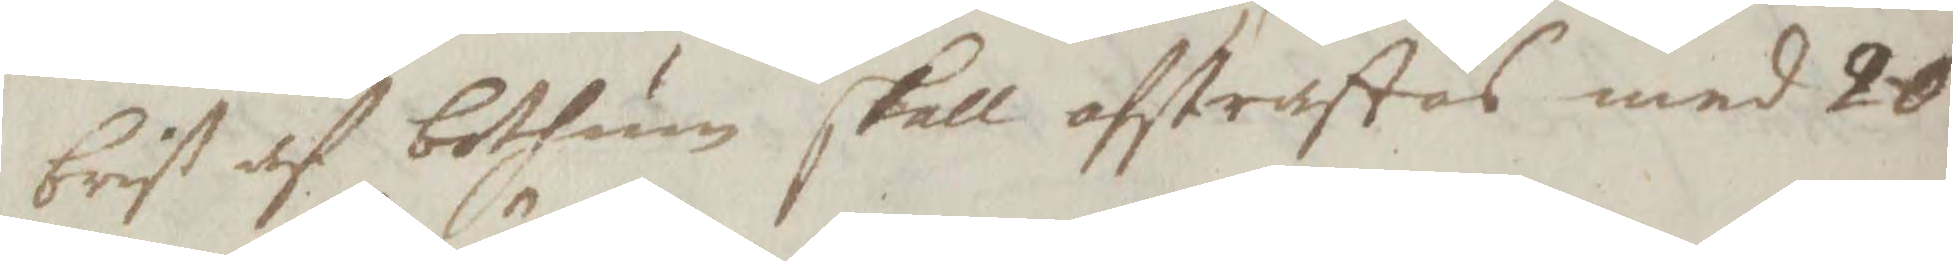brist af botum skall afstraffas med 20
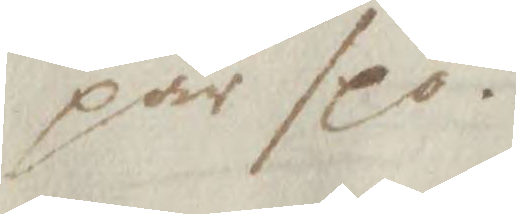par spö.
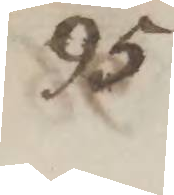95
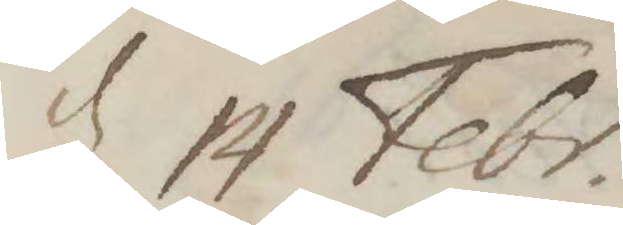d 14 Febr.
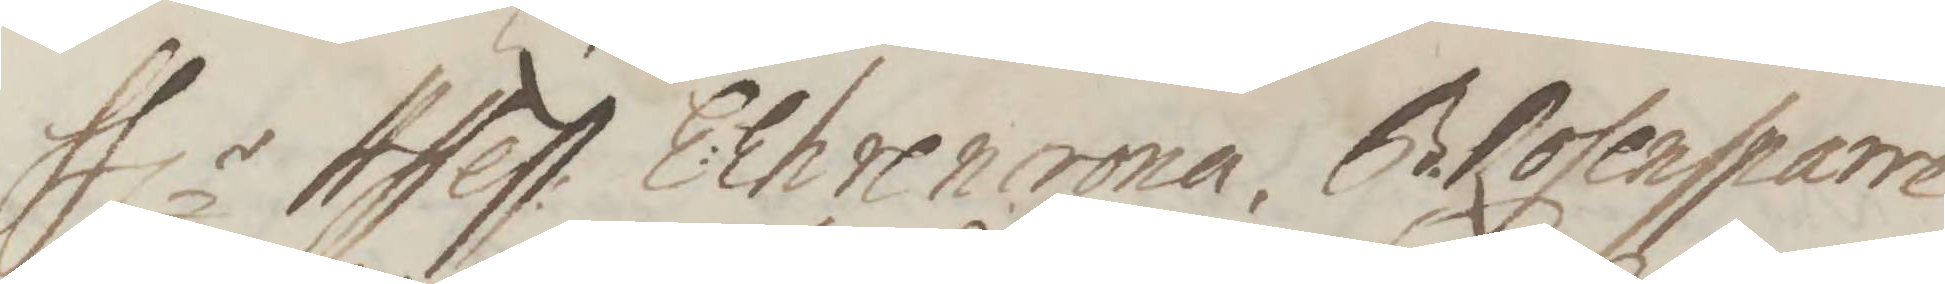Hlr Assess: E:Ehrencrona, B. Rosensparre
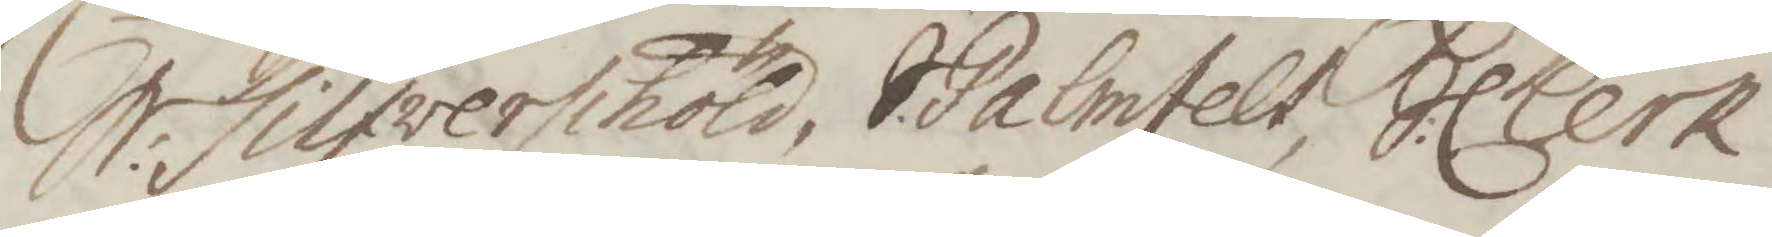S:Silfverschöld, S. Palmfelt, S:Clerk
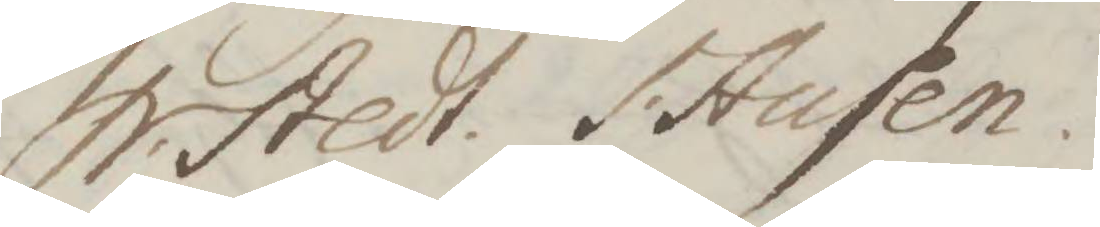N. Stedt. I. Ausen.
